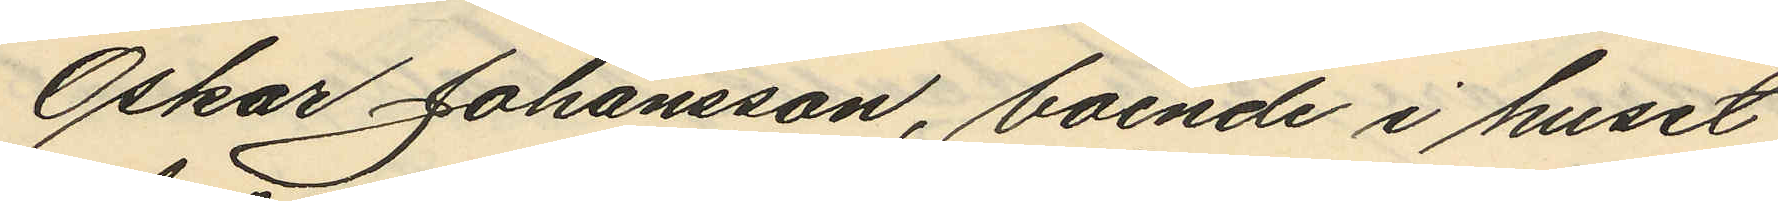Oskar Johansson, boende i huset
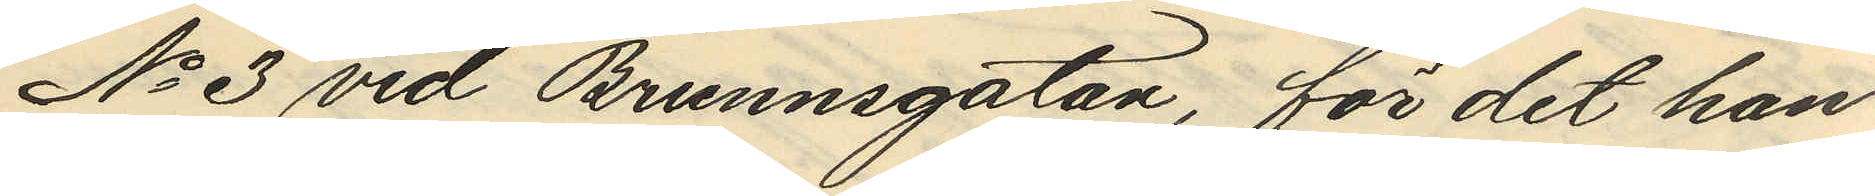No 3 vid Brunnsgatan, för det han
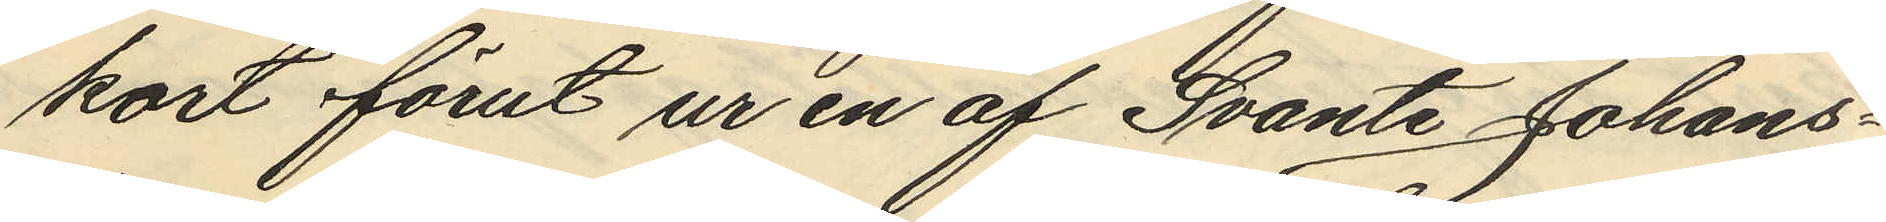kort förut ur en af Svante Johans¬
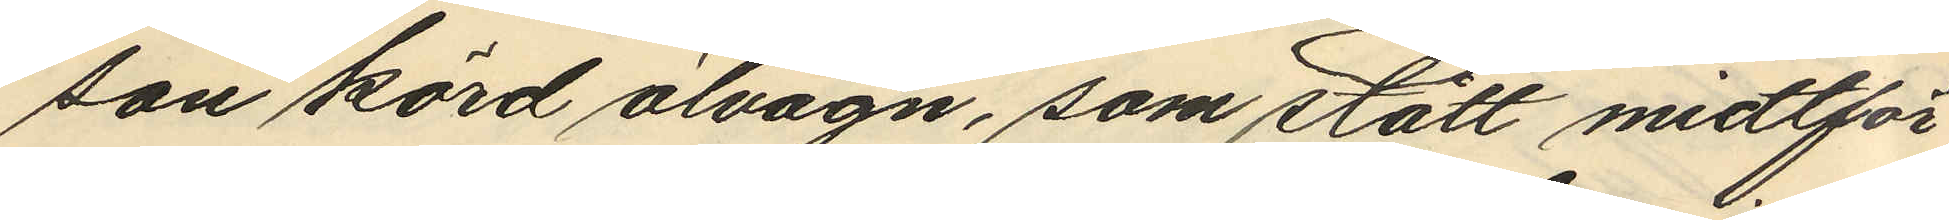son körd ölvagn, som stått midtför
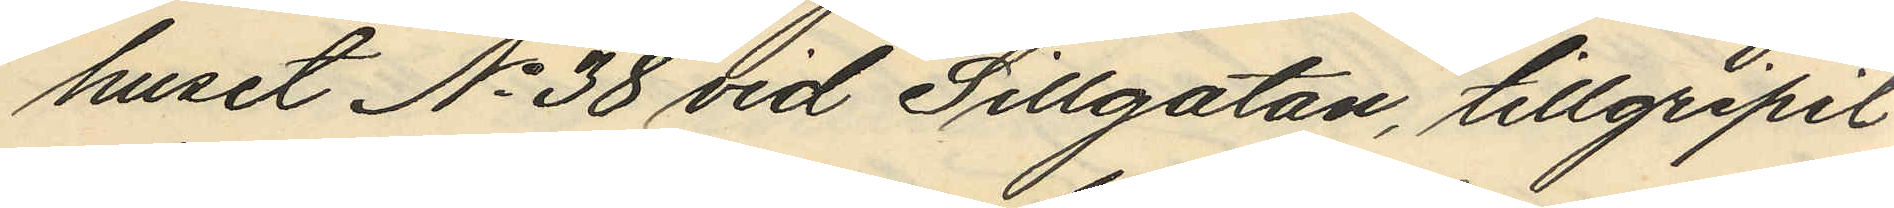huset No 38 vid Sillgatan, tillgripit
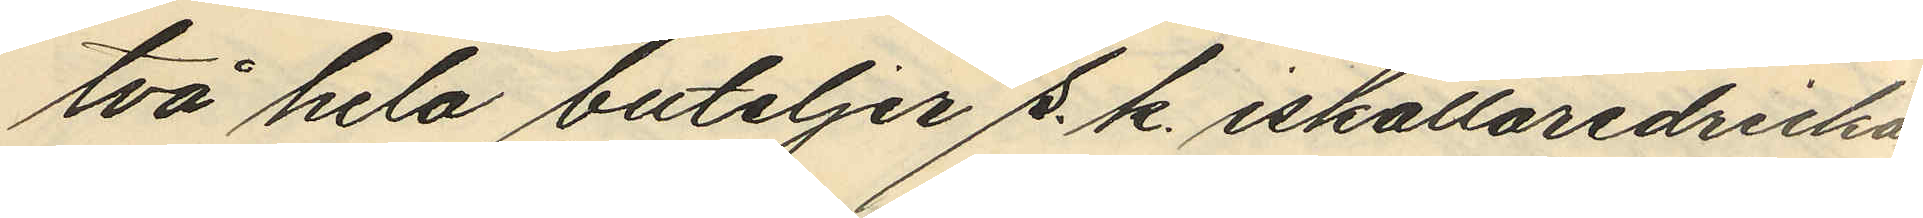två hela buteljer s. k. iskällaredricka
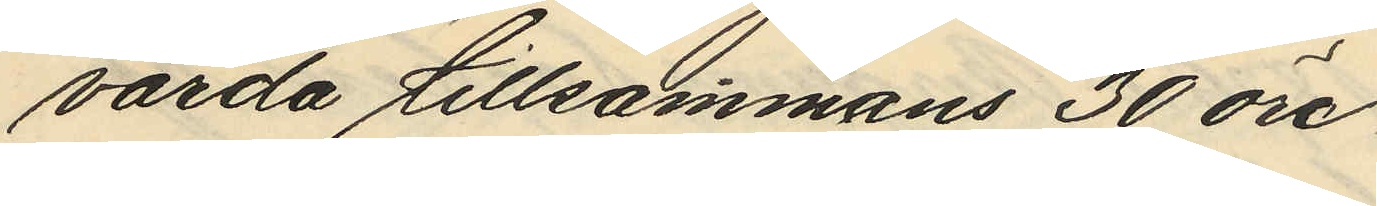värda tillsammans 30 öre.
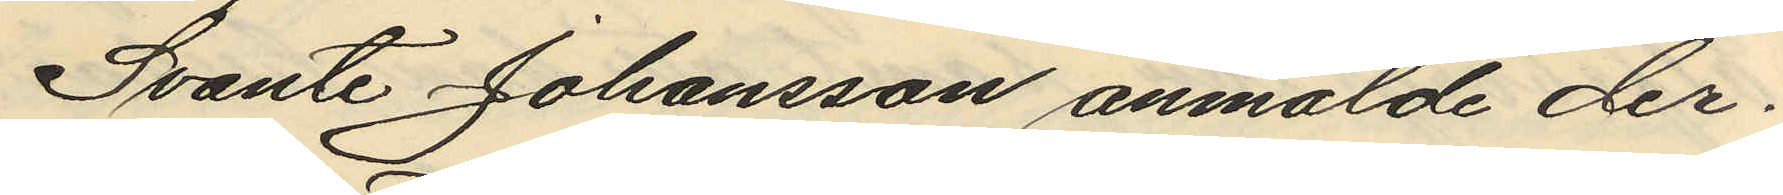Svante Johansson anmälde der¬
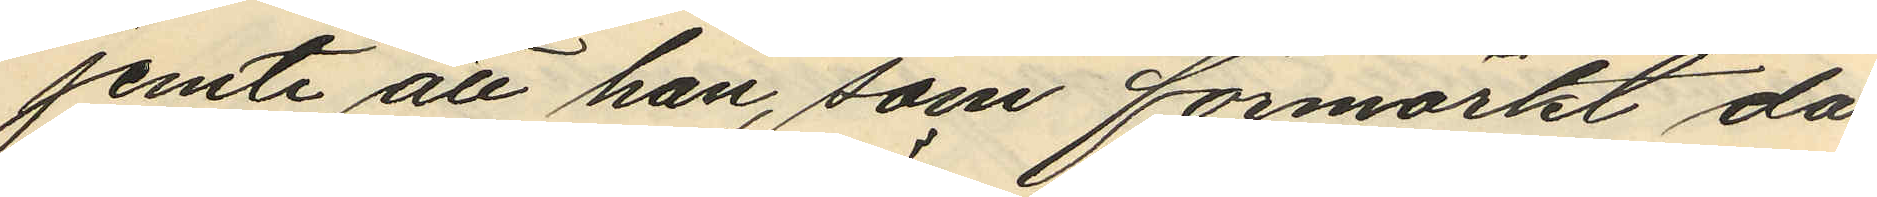jemte att han, som förmärkt då
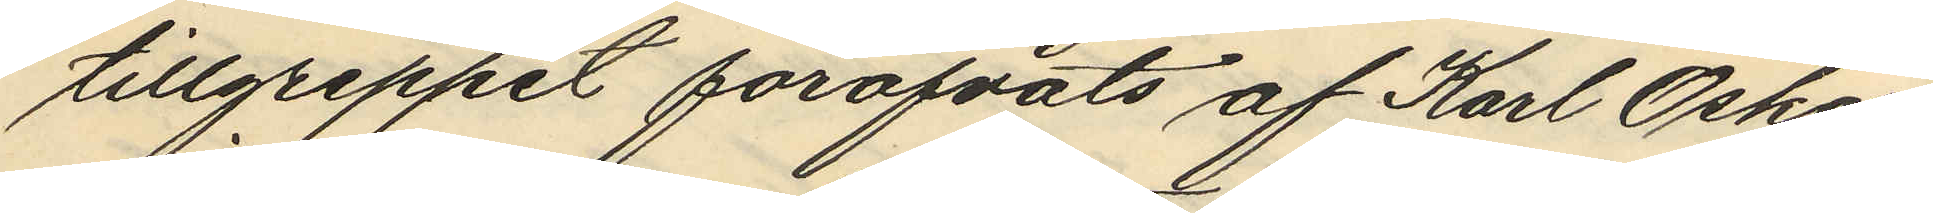tillgreppet föröfvats af Karl Oskar
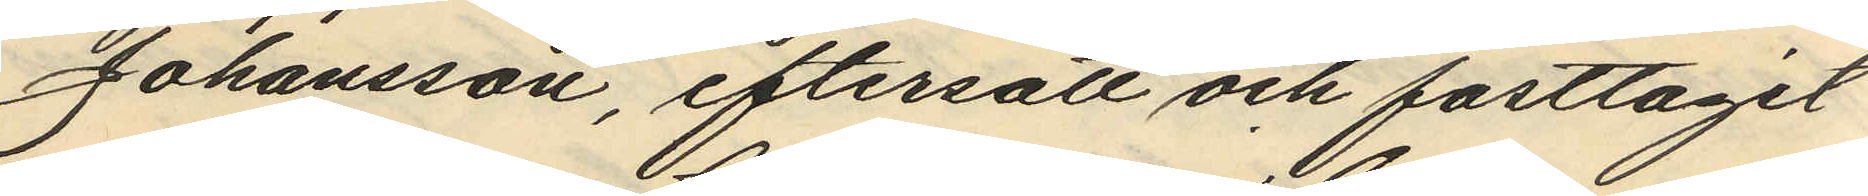Johansson, eftersatt och fasttagit
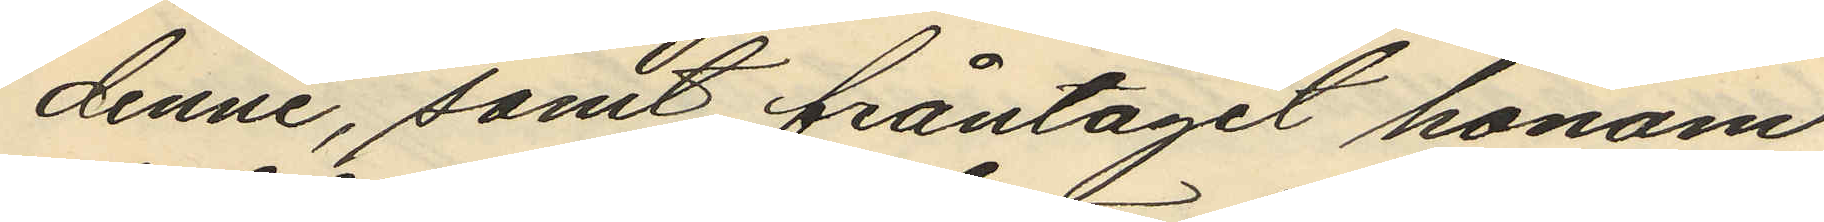denne, samt fråntagit honom
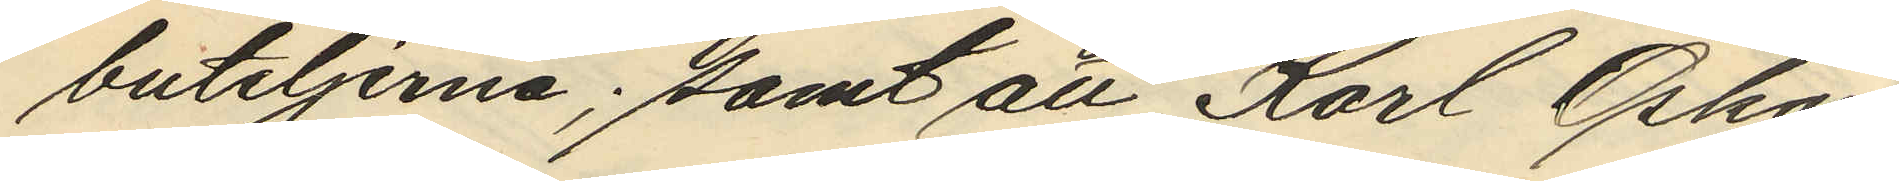buteljerna; samt att Karl Oskar
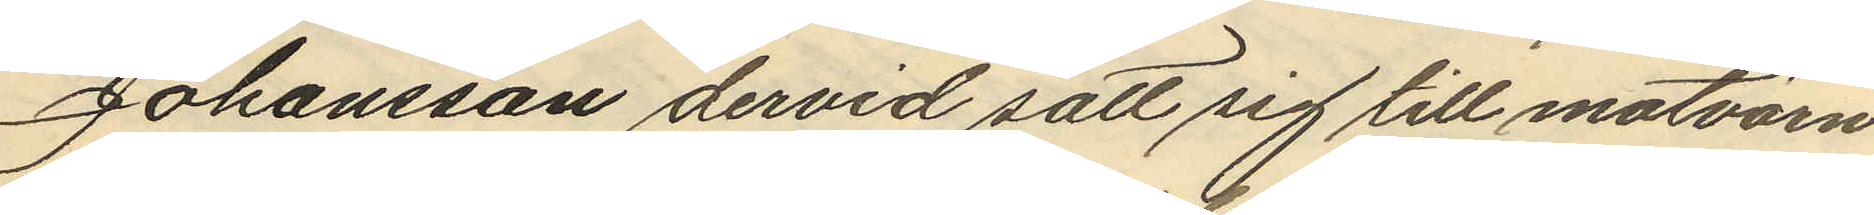Johansson dervid satt sig till motvärn
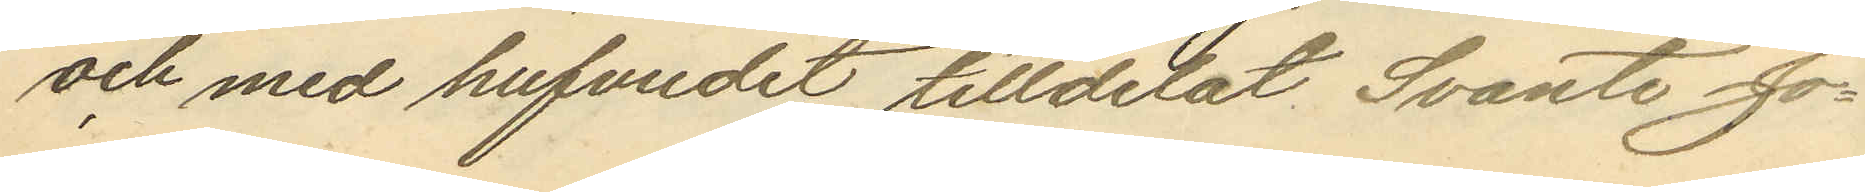och med hufvudet tilldelat Svante Jo¬
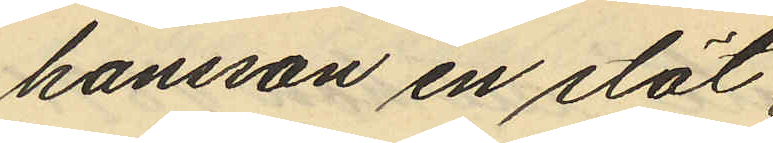hansson en stöt
